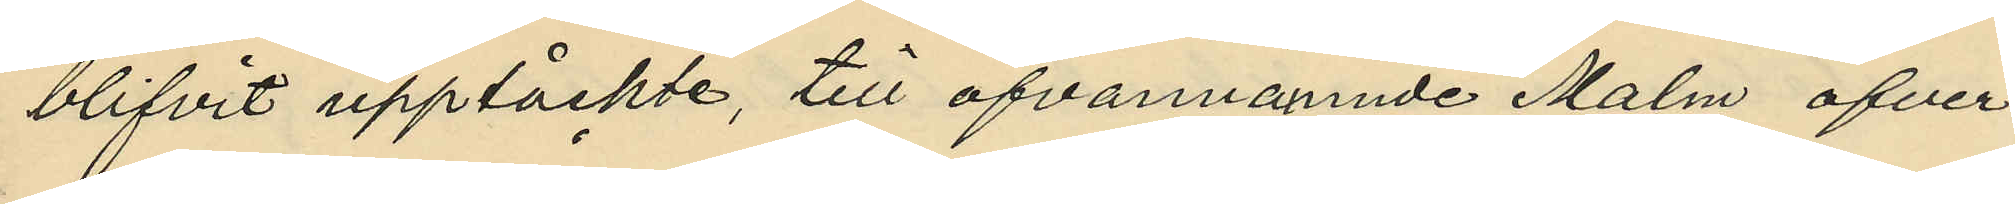blifvit upptäckte, till ofvannämnde Malm öfver¬
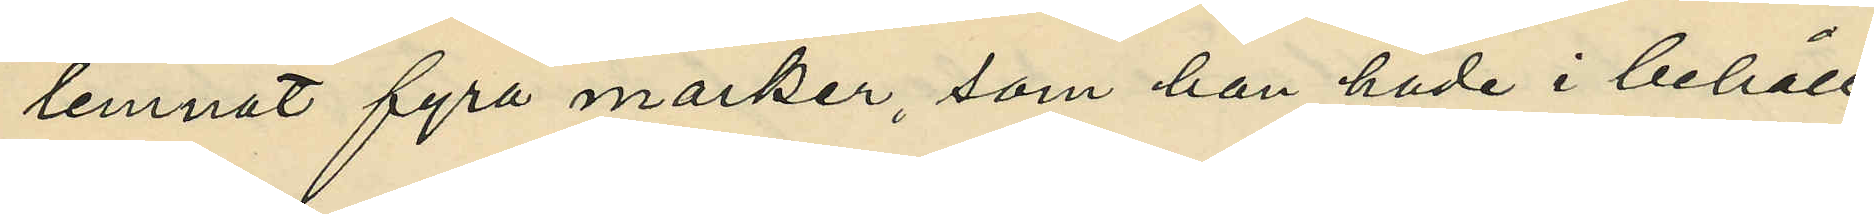lemnat fyra marker, som han hade i behåll;
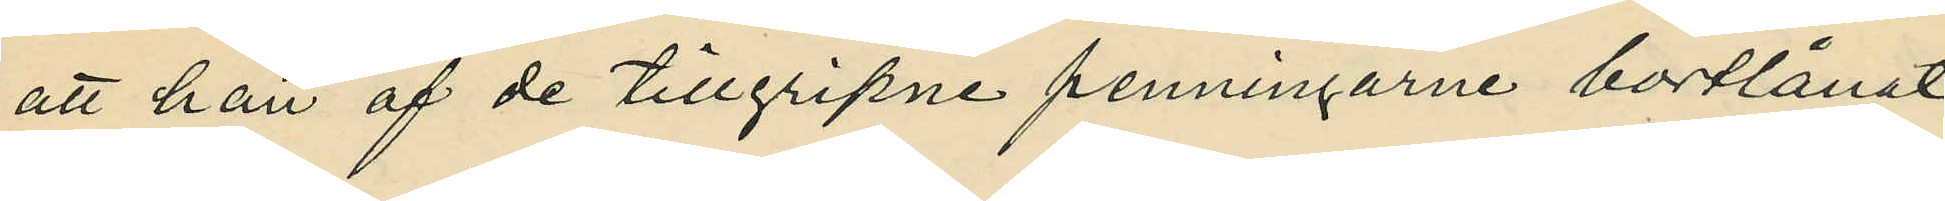att han af de tillgripne penningarne bortlånat
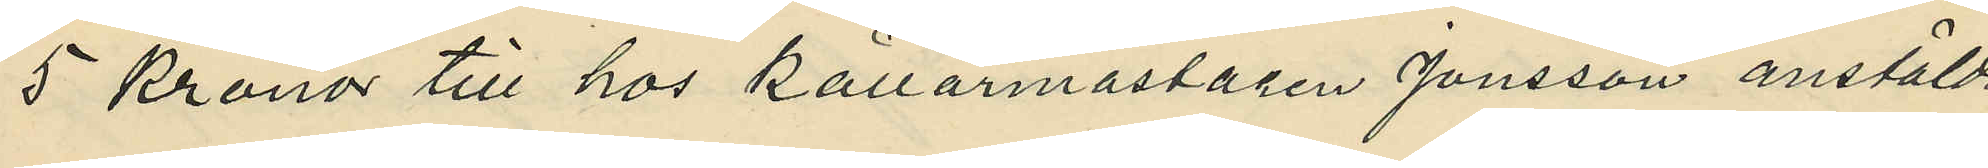5 Kronor till hos Källarmästaren Jansson anstälda 
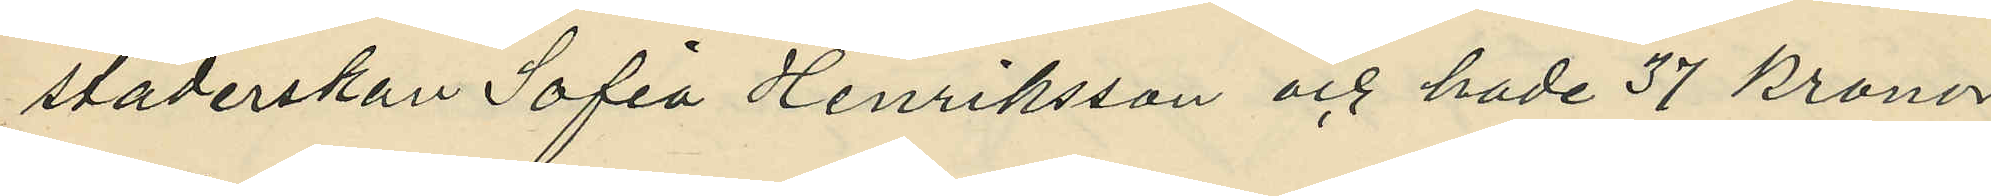städerskan Sofia Henriksson och hade 37 Kronor
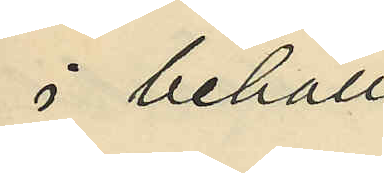i behåll;
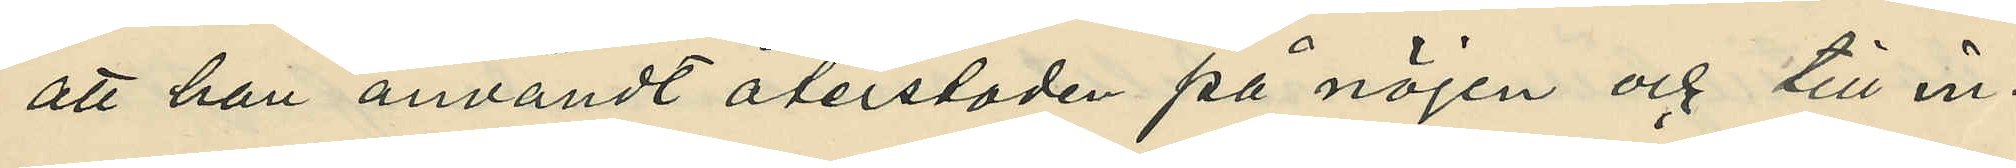att han användt återstoden på nöjen och till in¬
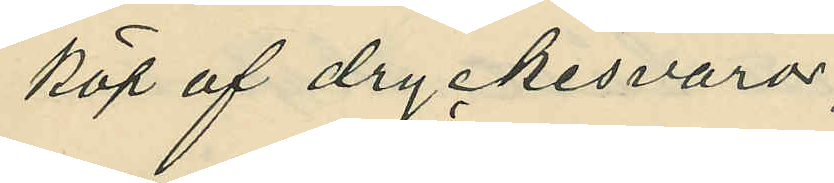köp af dryckesvaror;
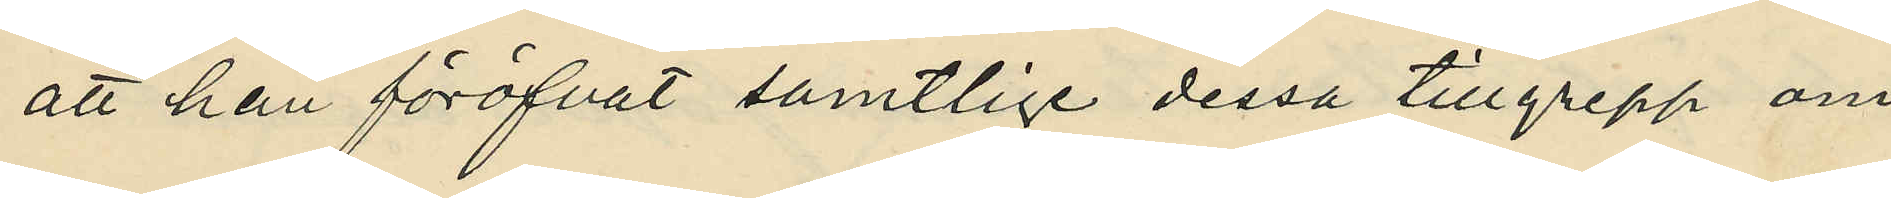att han föröfvat samtlige dessa tillgrepp om
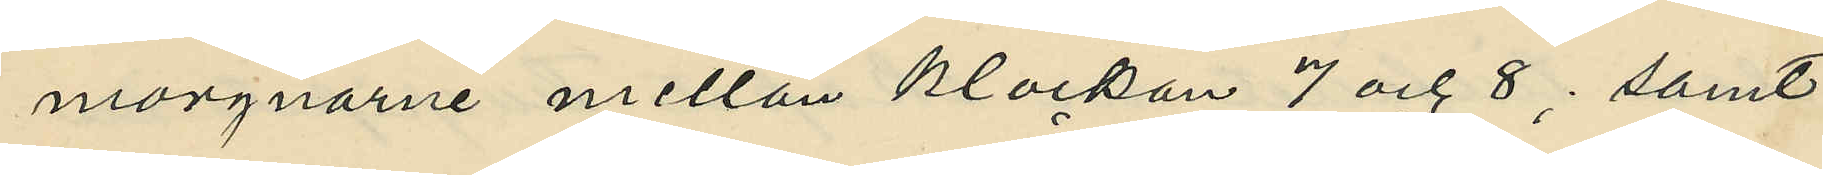morgnarne mellan klockan 7 och 8; samt
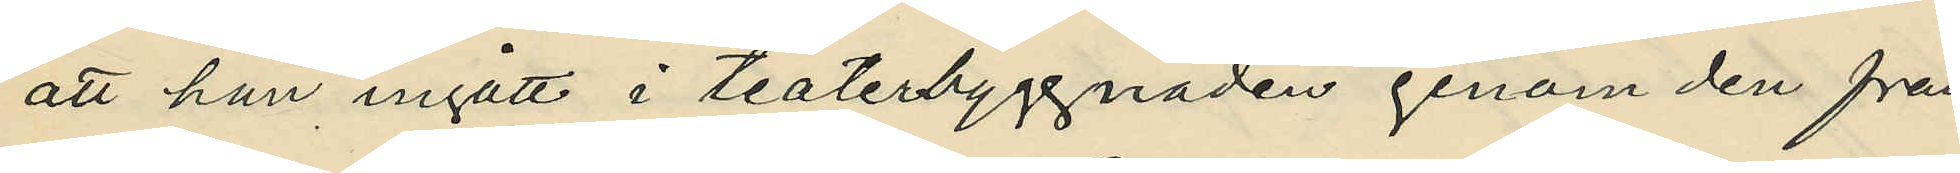att han ingått i teaterbyggnaden genom den från
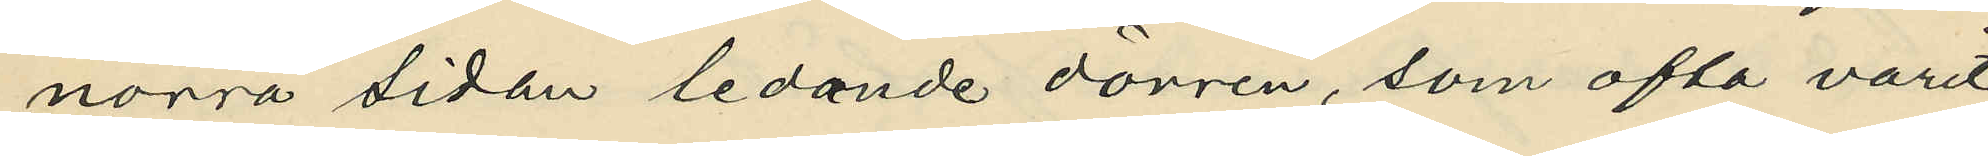norra sidan ledande dörren, som ofta varit
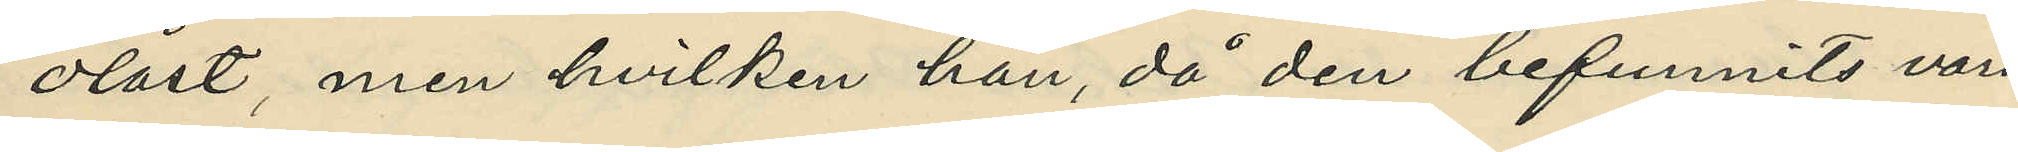olåst, men hvilken han, då den befunnits vara
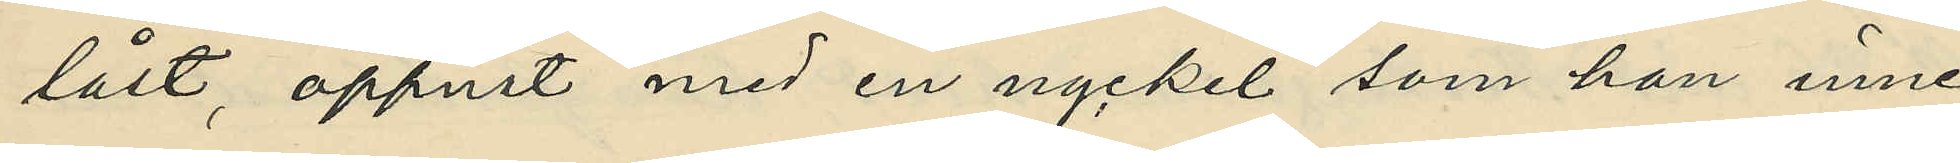låst, öppnat med en nyckel som han inne¬
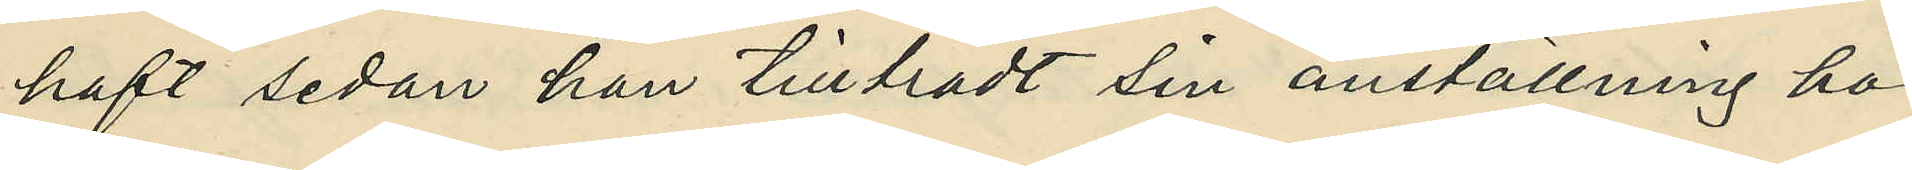haft sedan han tillträdt sin anställning hos
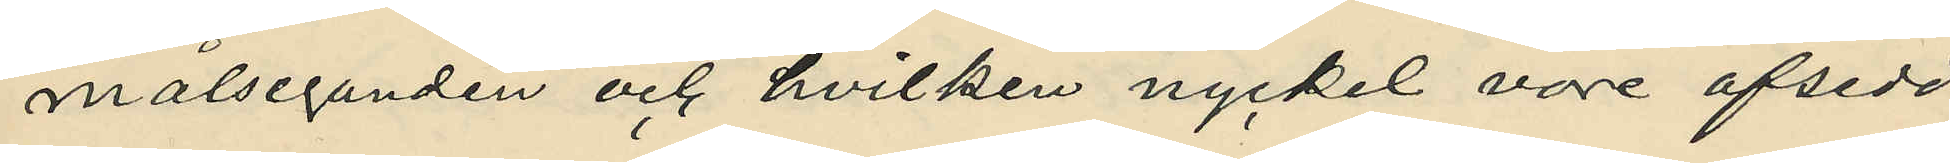målseganden och hvilken nyckel vore afsedd
